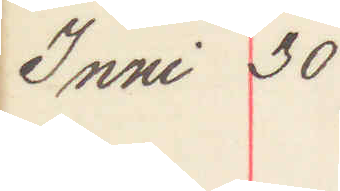Juni 30
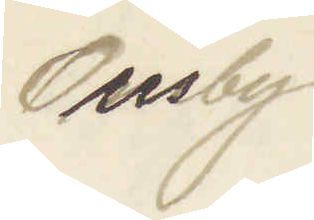Ousby
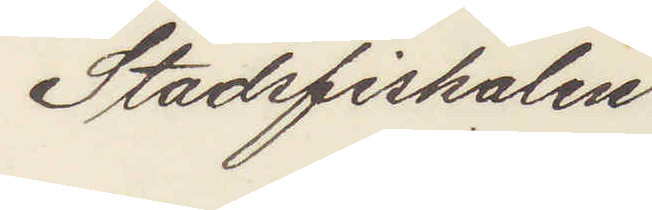Stadsfiskalen
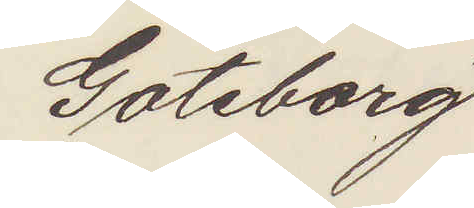Göteborg.
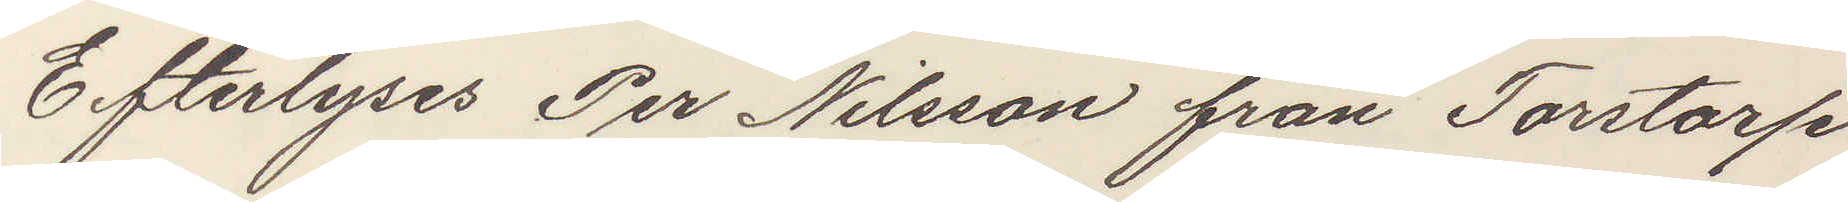Efterlyses Per Nilsson från Torstorp
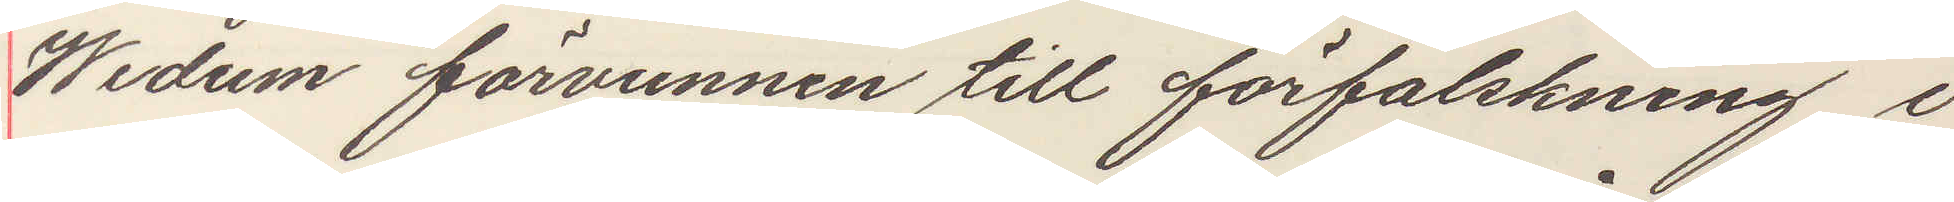Wedum förvunnen till förfalskning i
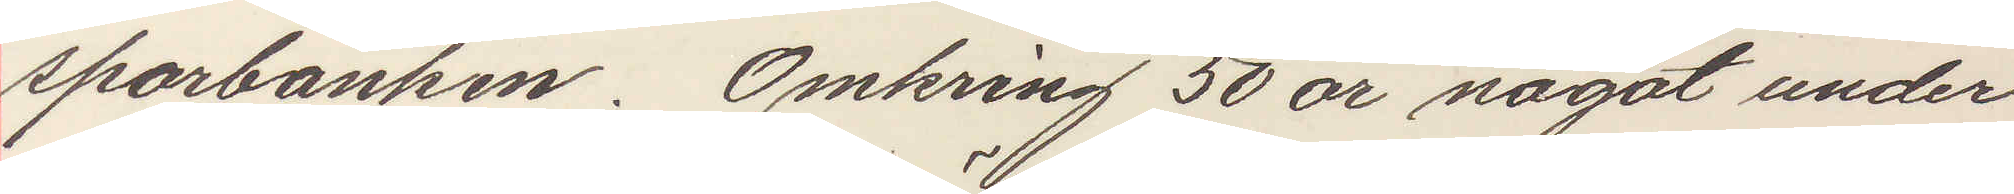sparbanken. Omkring 50 år något under
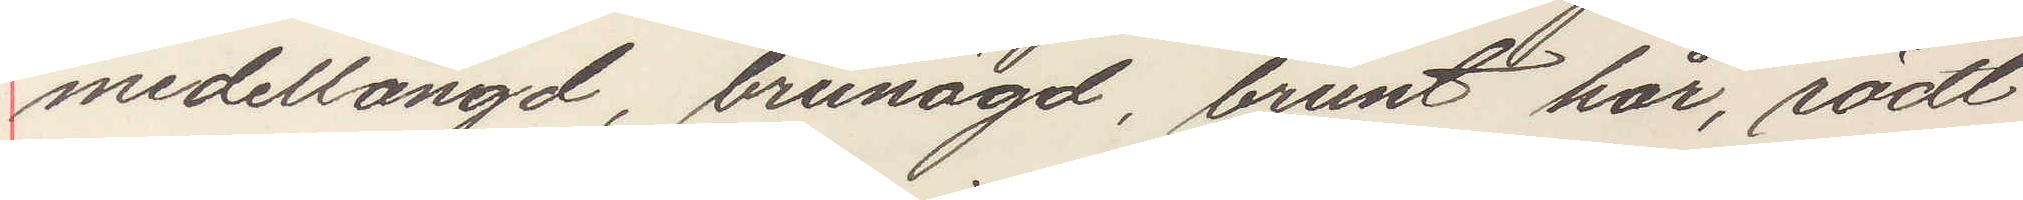meddellängd, brunögd, brunt hår, rödt
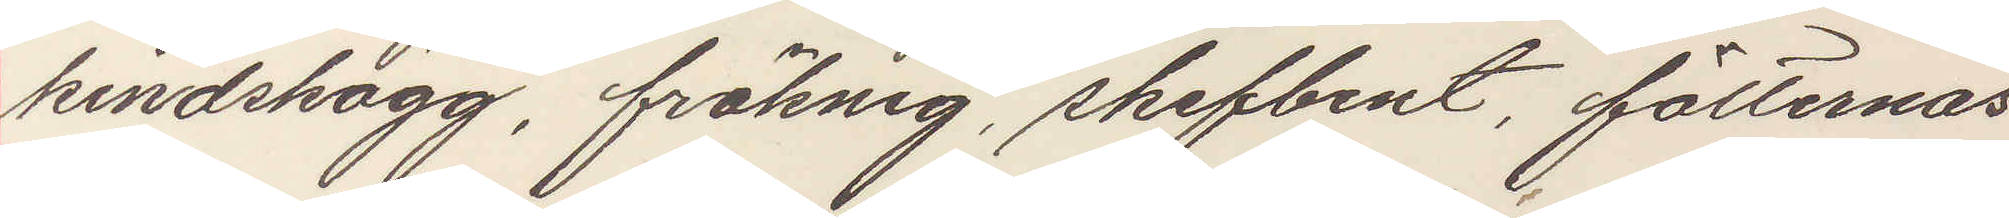kindskägg, fräknig, skefbent, fötternas
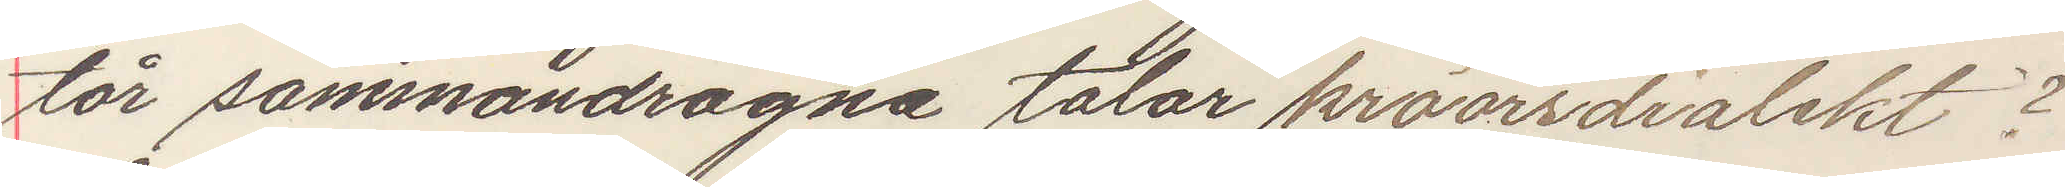tår sammandragne talar kröörsdialekt?
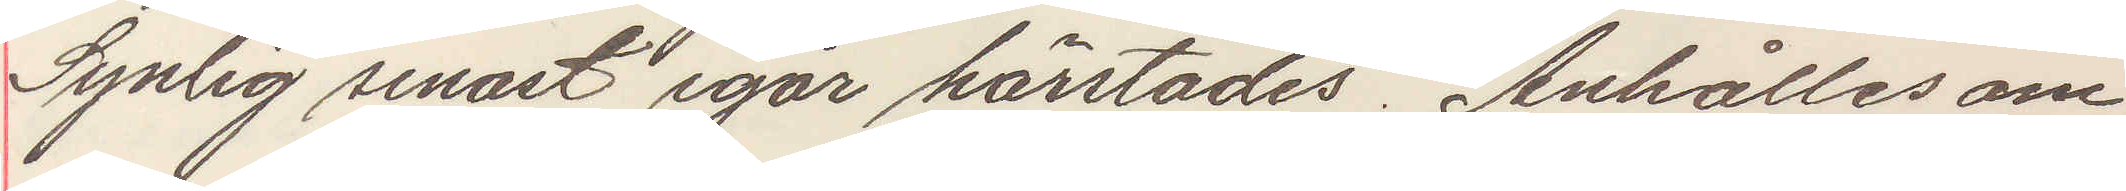Synlig senast igår härstädes. Anhålles om
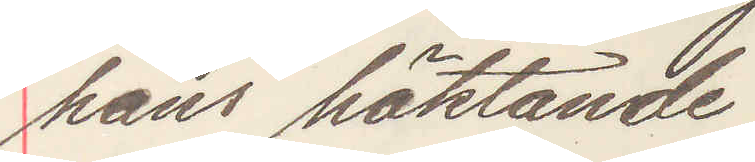hans häktande.
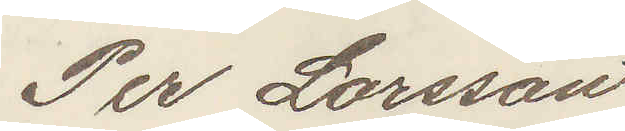Per Larsson
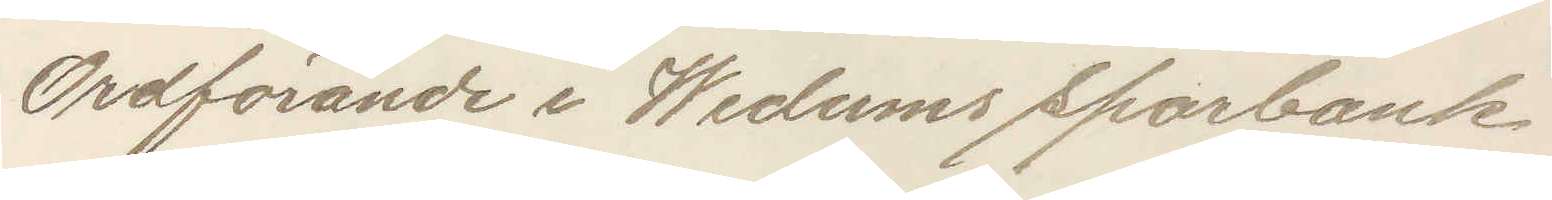Ordförande i Wedums Sparbank.
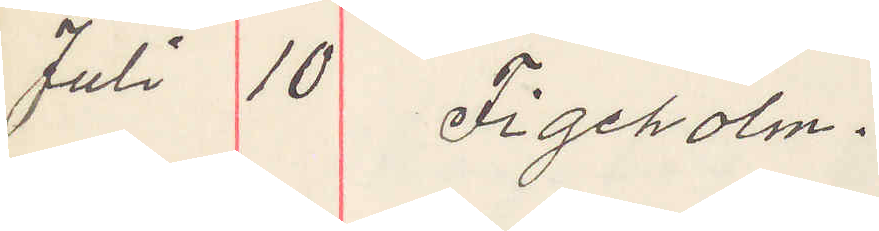Juli 10 Figeholm.
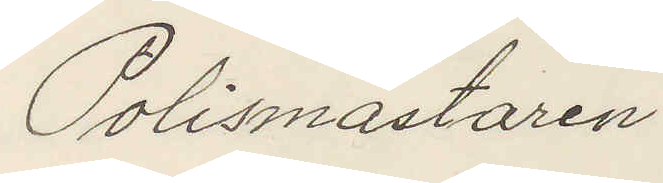Polismästaren 
